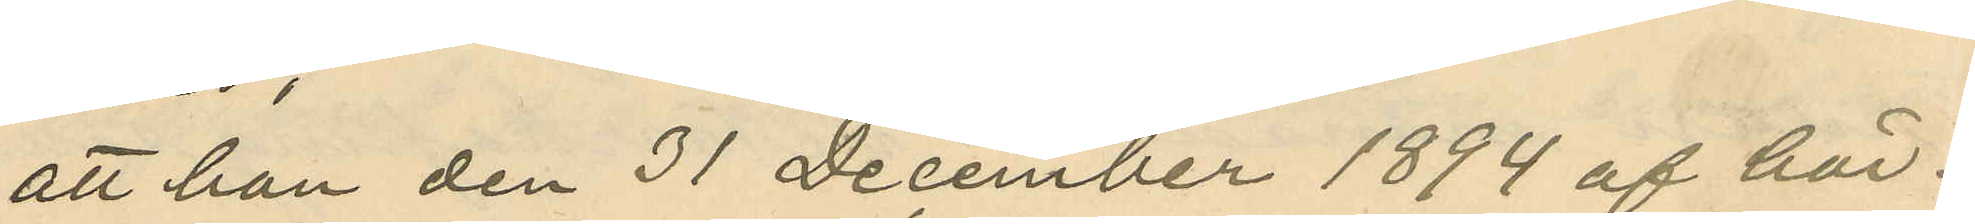att han den 31 December 1894 af här¬
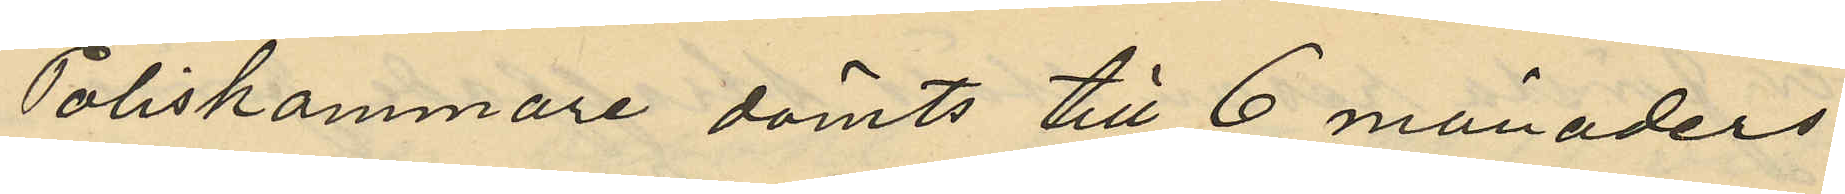Poliskammare dömts till 6 månaders
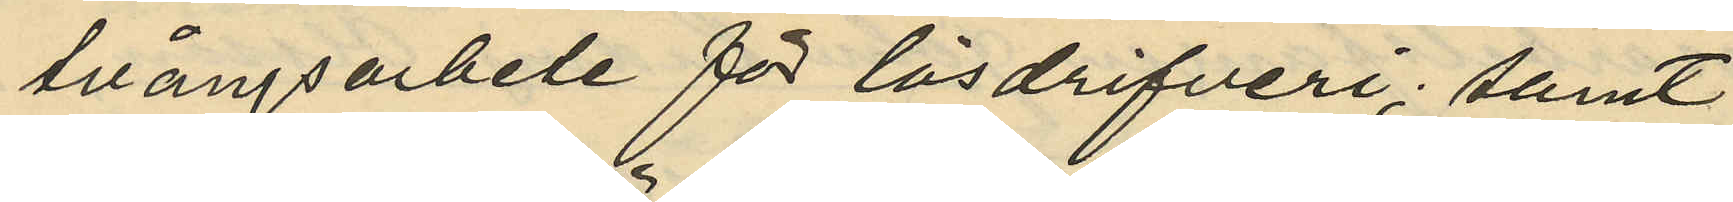tvångsarbete för lösdrifveri; samt
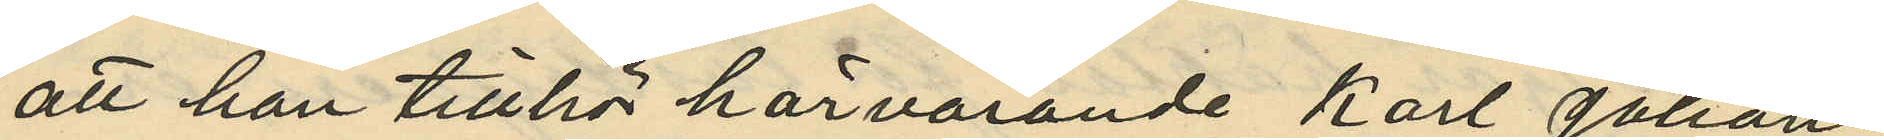att han tillhör härvarande Karl Johans
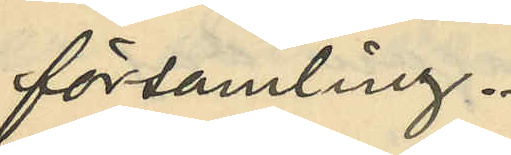församling.
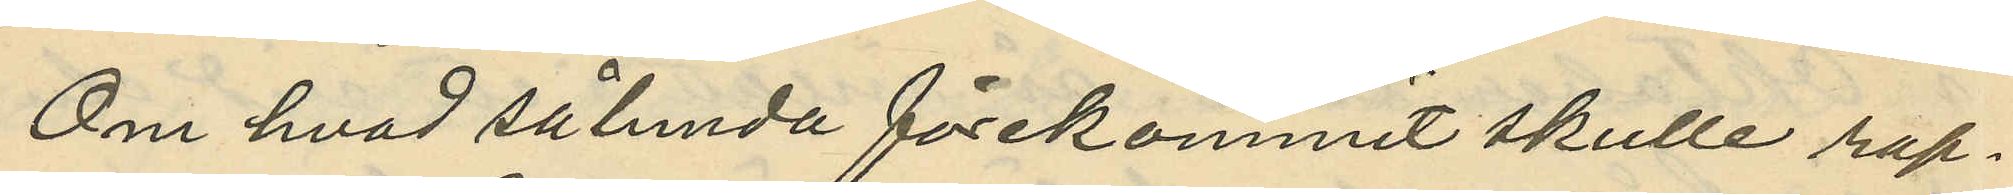Om hvad sålunda förekommit skulle rap¬
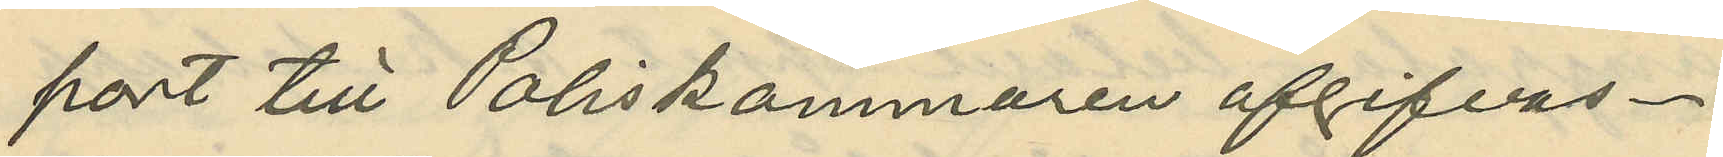port till Poliskammaren afgifvas.
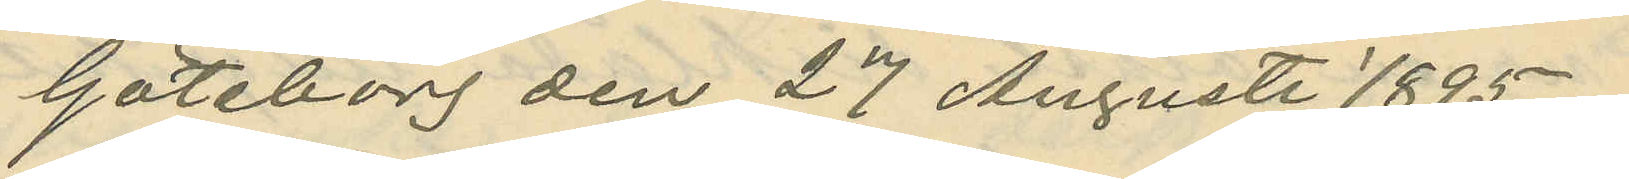Göteborg den 27 Augusti 1895.
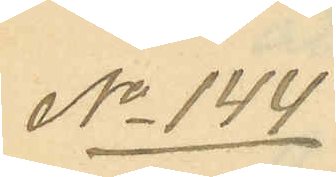No 144
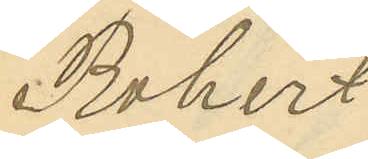Robert
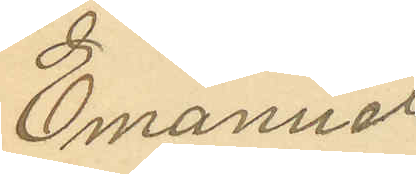Emanuel
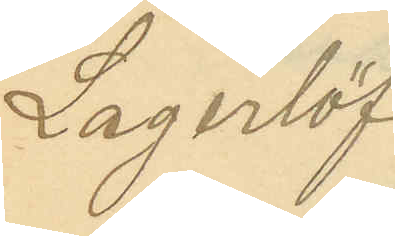Lagerlöf
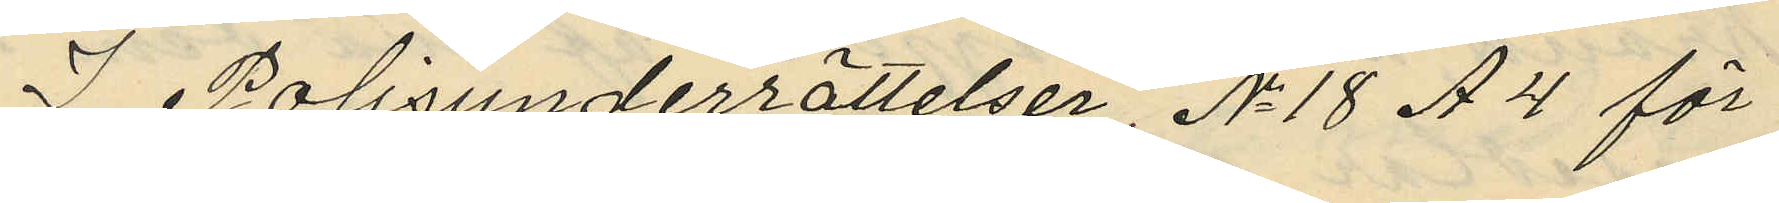I Polisunderrättelser, No 18 A4 för
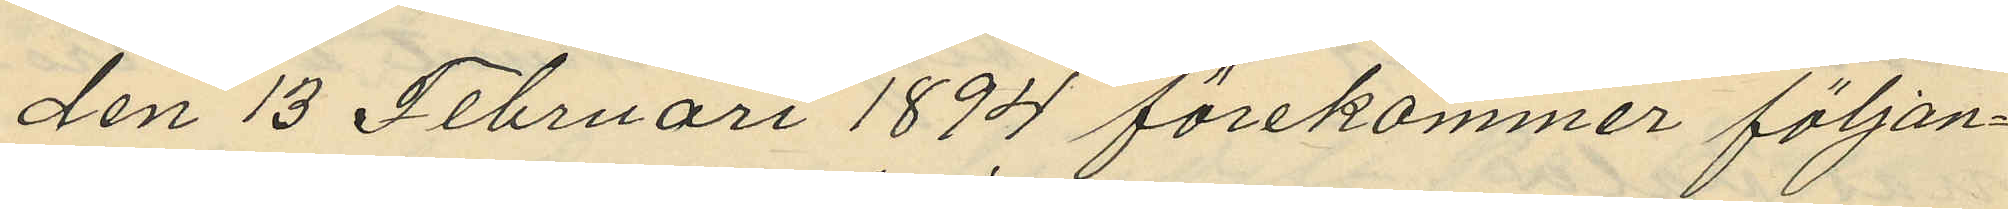den 13 Februari 1894 förekommer följan¬
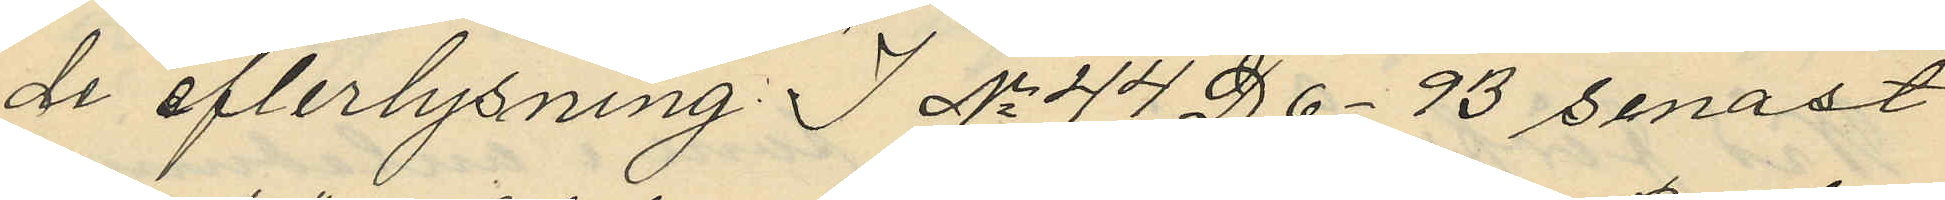de efterlysning: I No 44 D6-93 senast
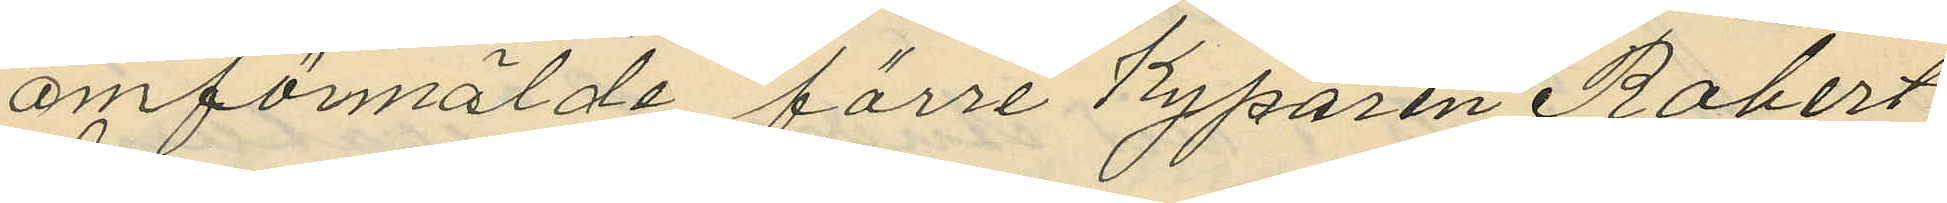omförmälde förre Kyparen Robert
